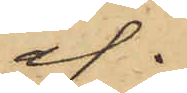af.
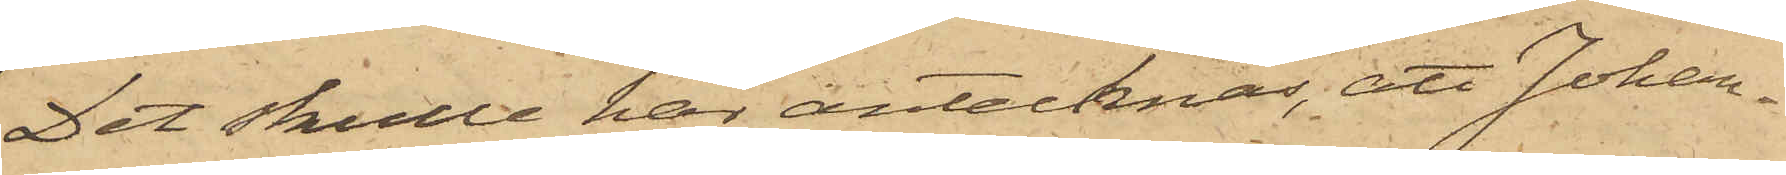Det skulle här antecknas, att Johan¬
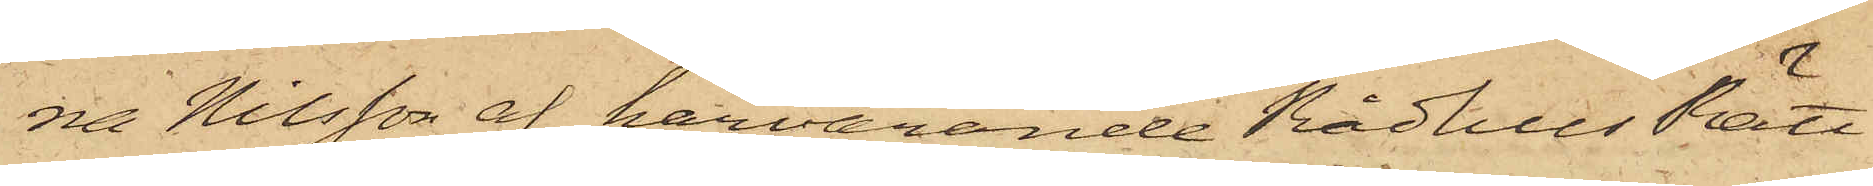na Nilsson af härvarande RådhusRätt
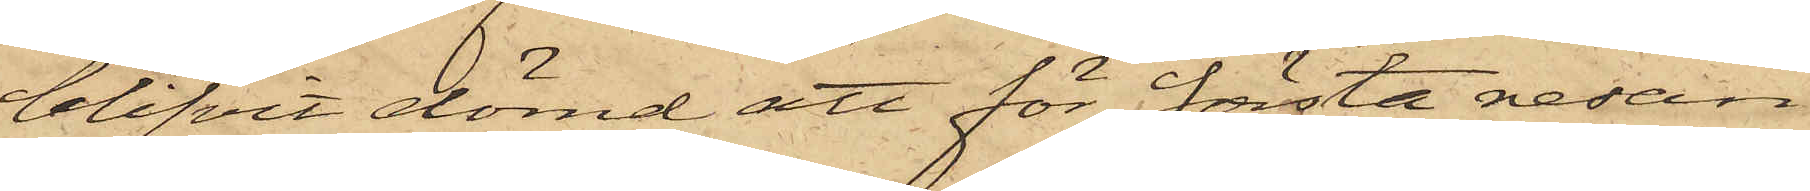blifvit dömd att för första resan
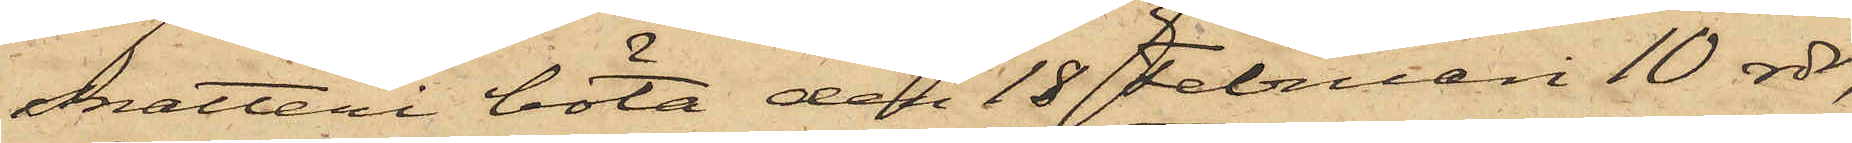snatteri böta den 18 Februari 10 rdr,
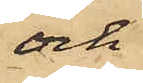och
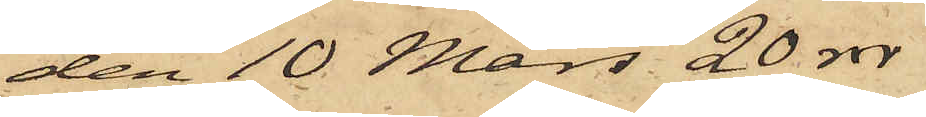den 10 Mars 20 rdr
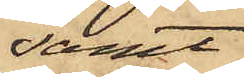samt
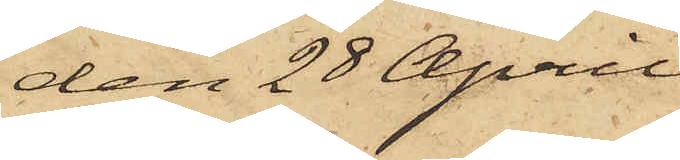den 28 April
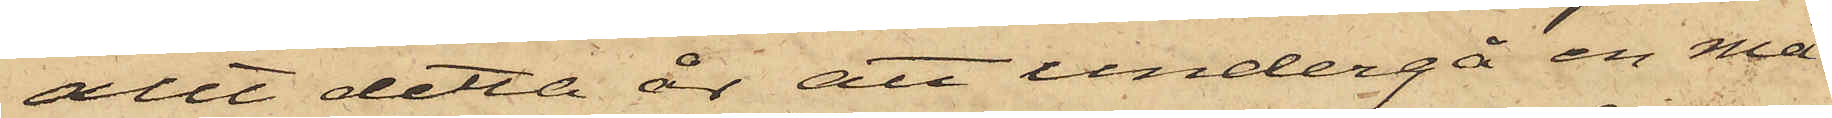allt detta år att undergå en må¬
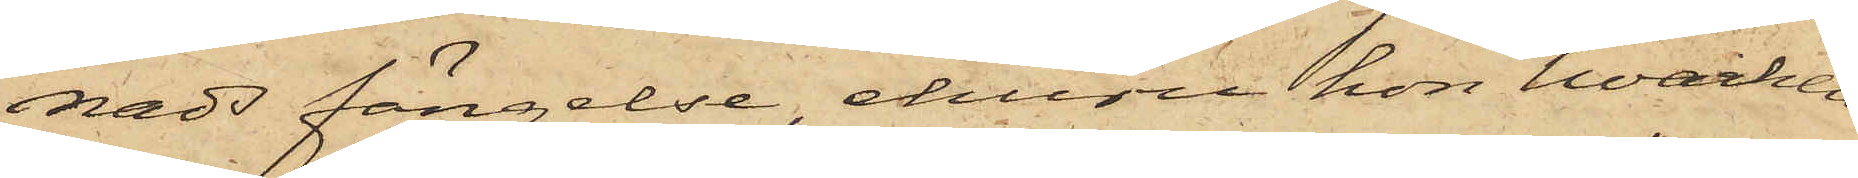nads fängelse, ehuru hon hvarken
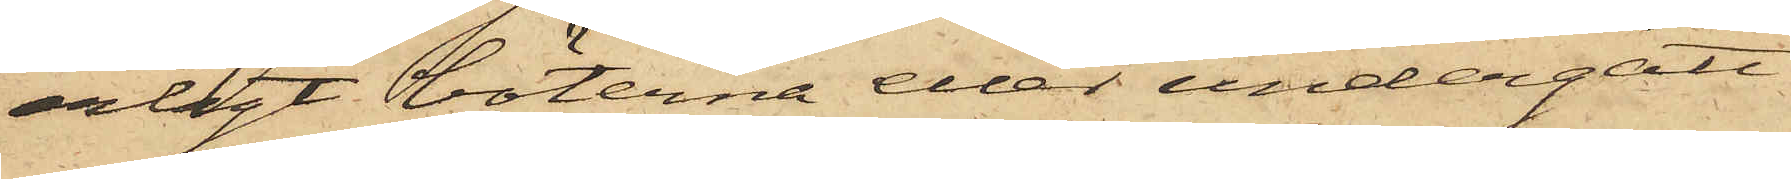erlagt böterna eller undergått
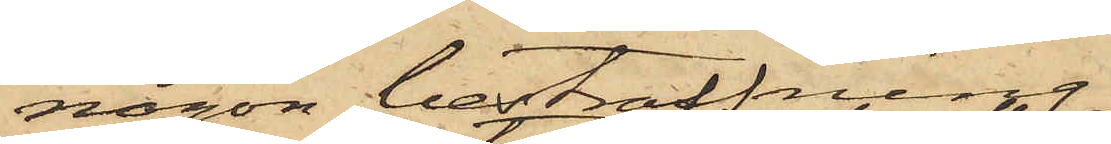någon bestraffning.
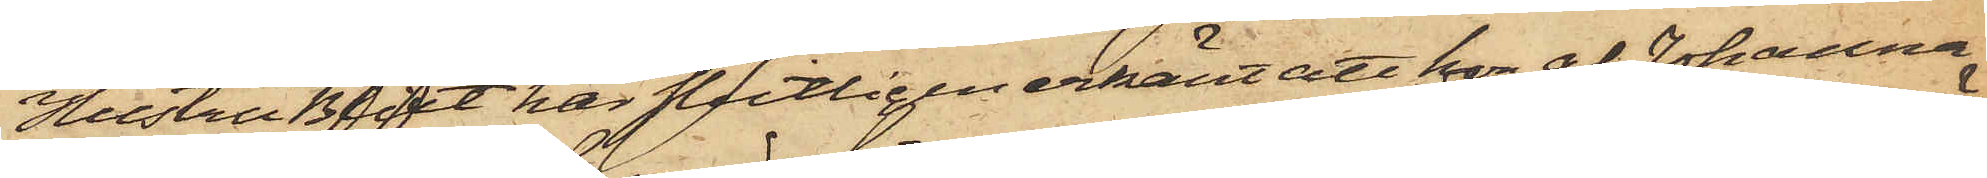Hustru Blixt har slutligen erkänt att hon af Johanna
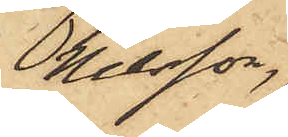Nilsson,
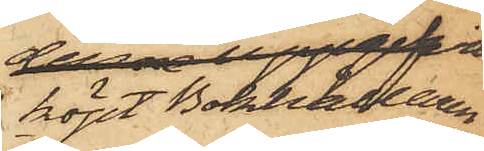köpt Bokhållaren
